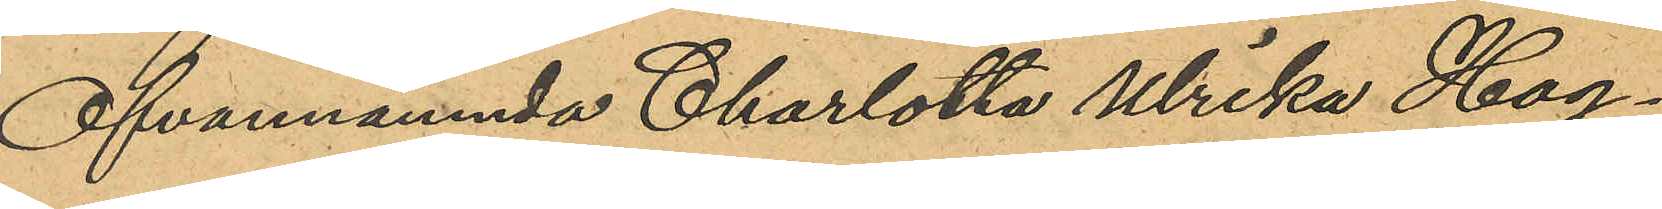Ofvannämnda Charlotta Ulrika Hag¬
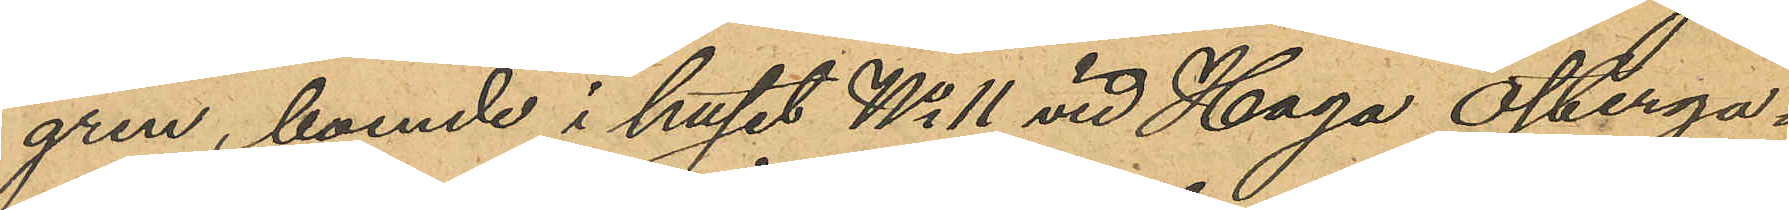gren, boende i huset No 11 vid Haga Österga¬
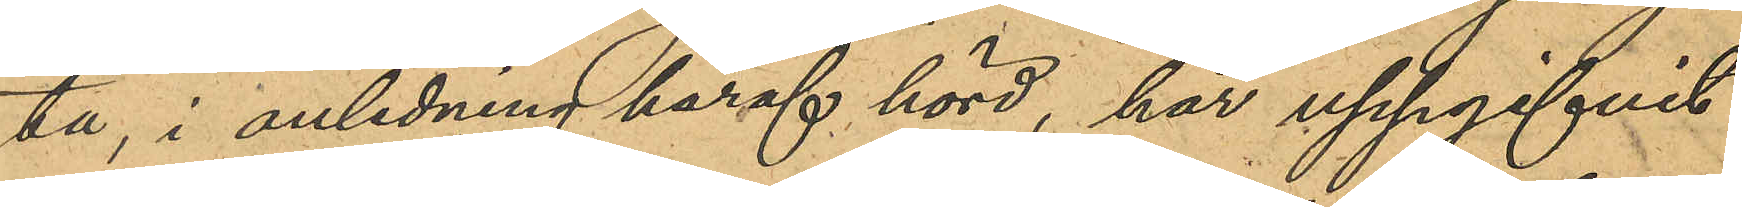ta, i anledning häraf hörd, har uppgifvit
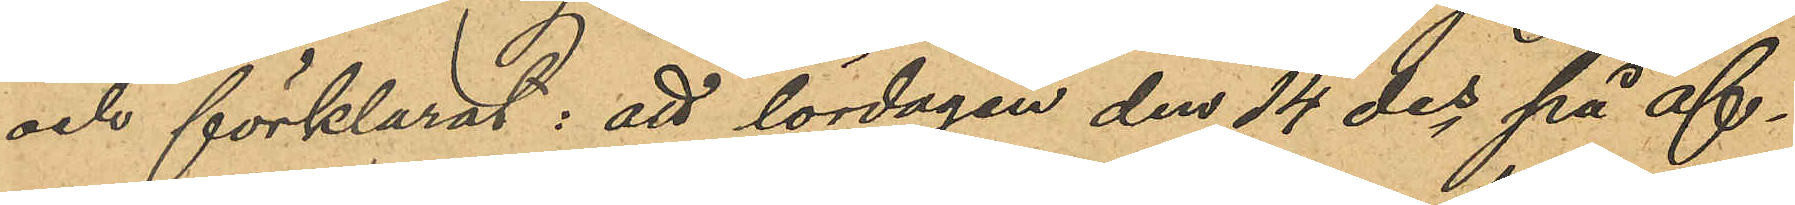och förklarat: att lördagen den 14 des på af¬
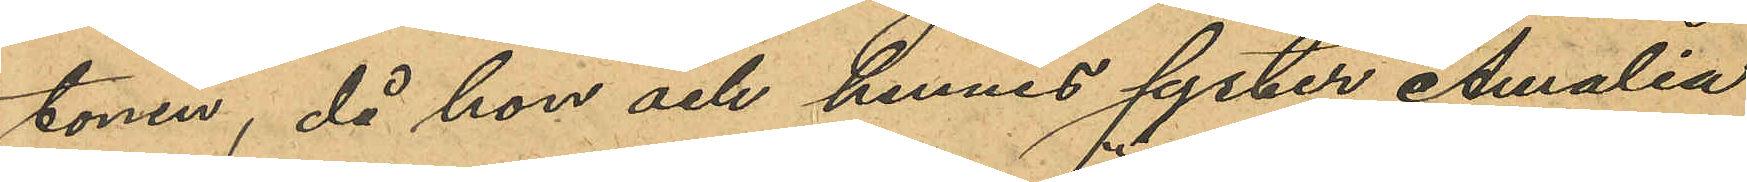tonen, då hon och hennes syster Amalia
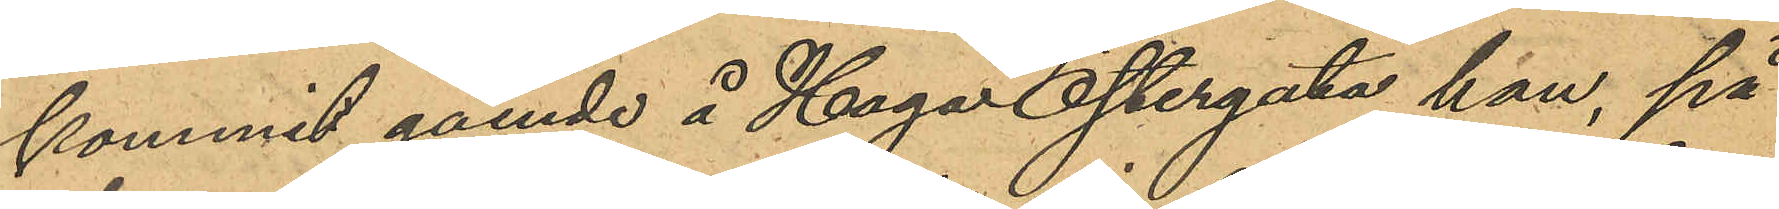kommit gående å Haga Östergata hon, på
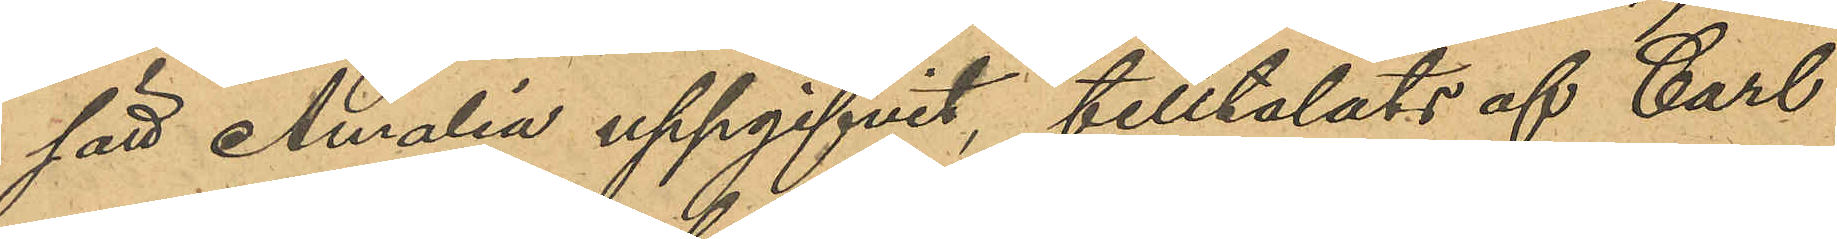sätt Amalia uppgifvit tilltalats af Carl
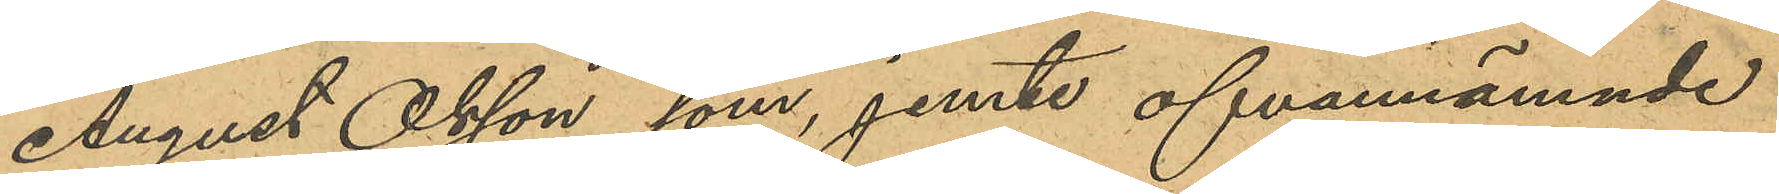August Olsson som, jemte ofvannämnde
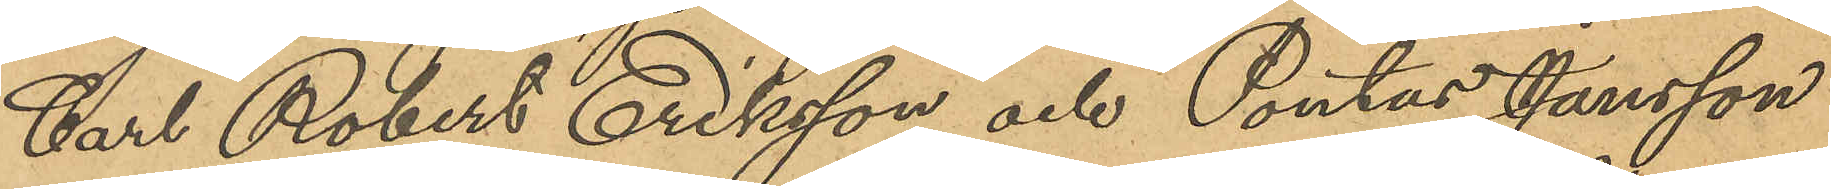Carl Robert Eriksson och Pontus Jansson
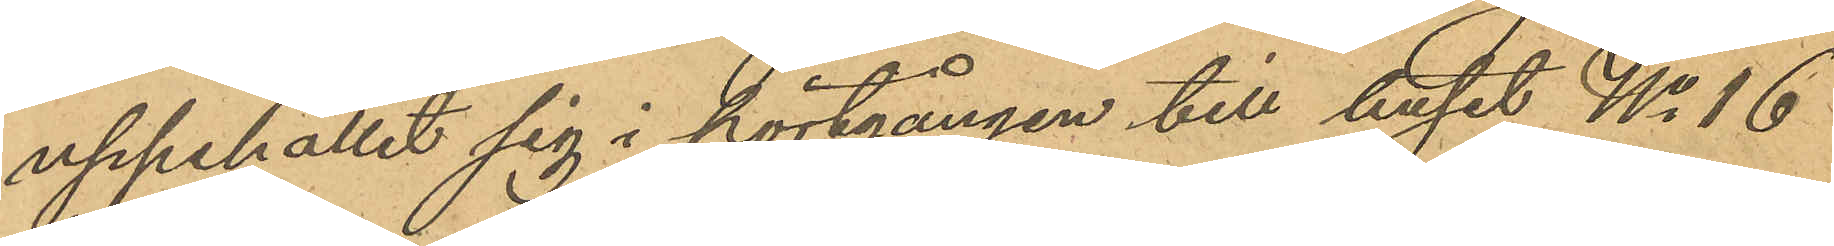uppehållet sig i portgången till huset No 16
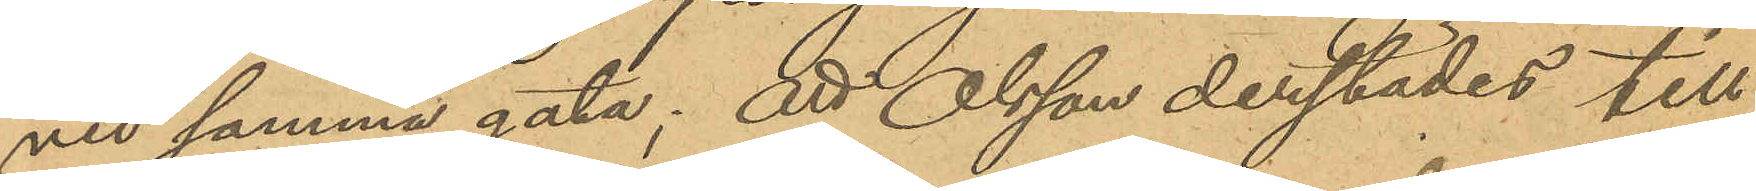vid samma gata; att Olsson derstädes till
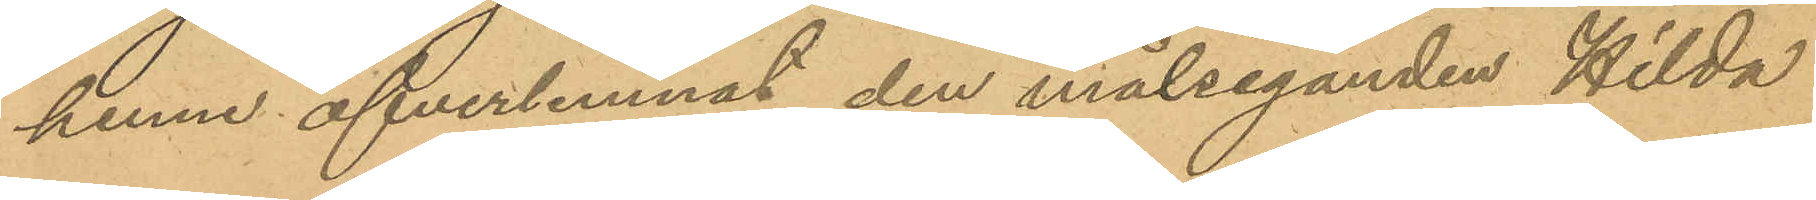henne öfverlemnat den målseganden Hilda
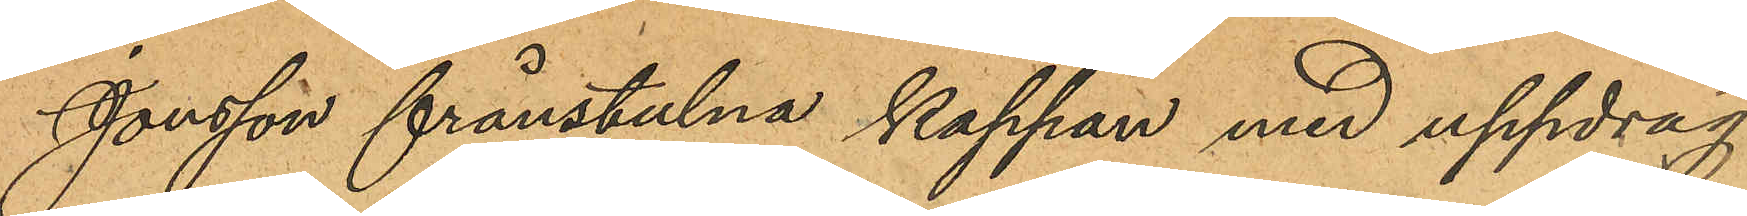Jonsson frånstulna kappan med uppdrag
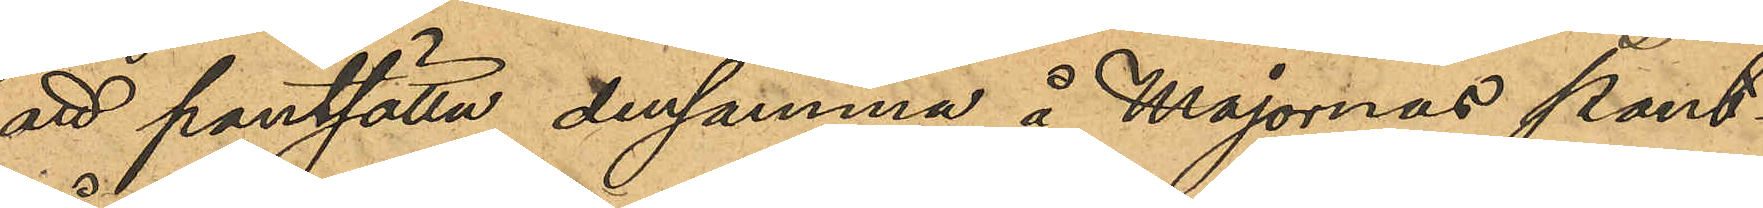att pantsätta densamma å Majornas pant¬
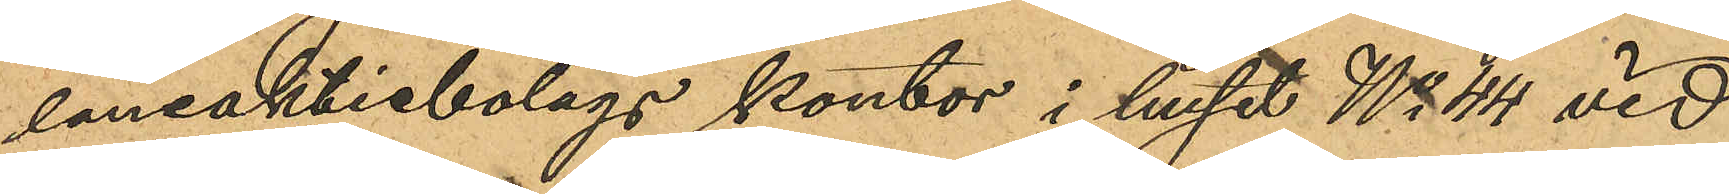låneaktiebolags kontor i huset No 44 vid
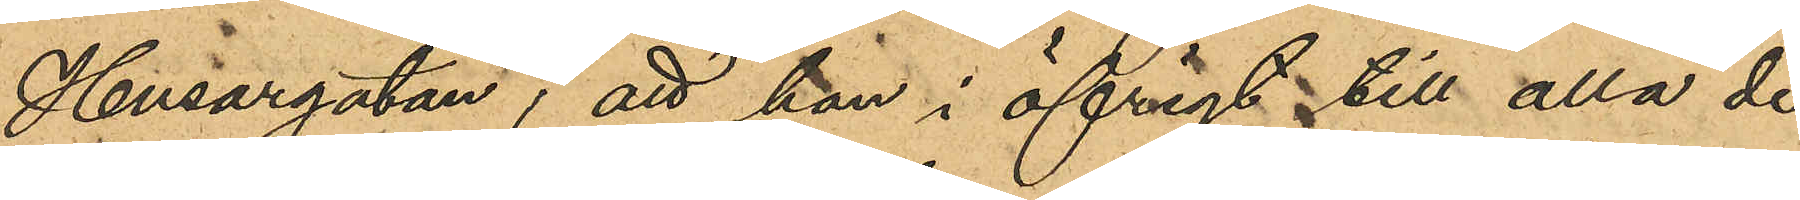Husargatan, att hon i öfvrigt till alla de-
